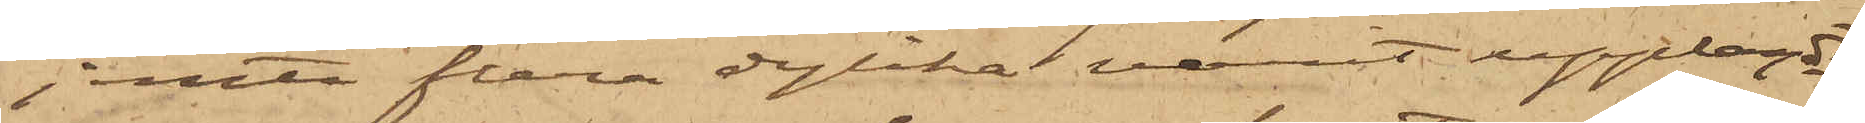jemte flera dylika varit upplagdt
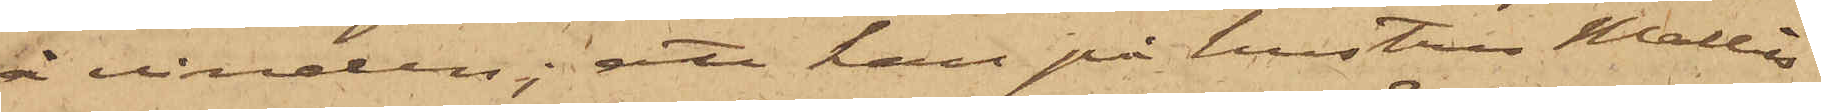å vinden; att han på hustru Mallis
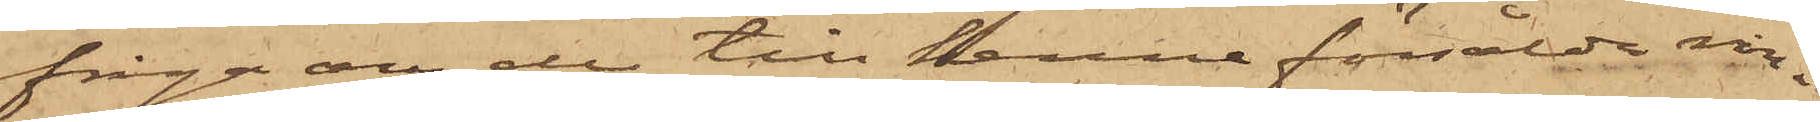fråga om de till henne försålda rin¬
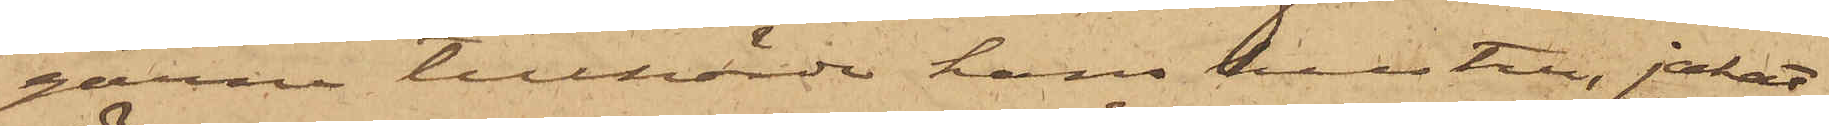garne tillhörde hans hustru jakat
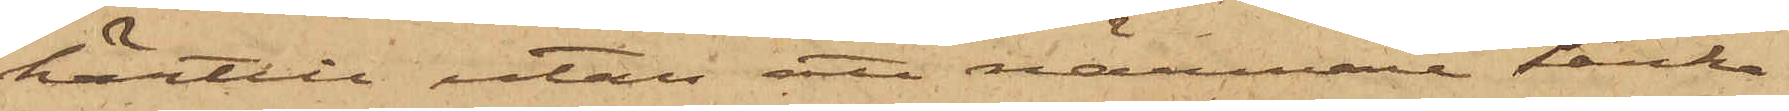härtill utan att närmare tänka
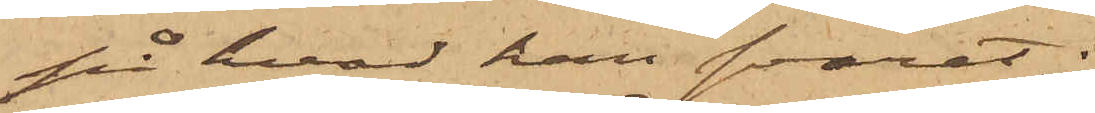på hvad han svarat;
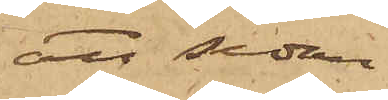att sedan
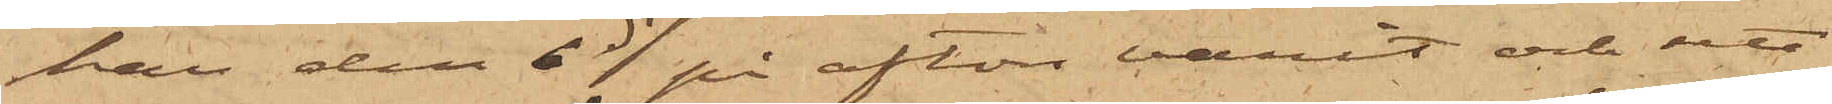han den 6 ds på afton varit och sett
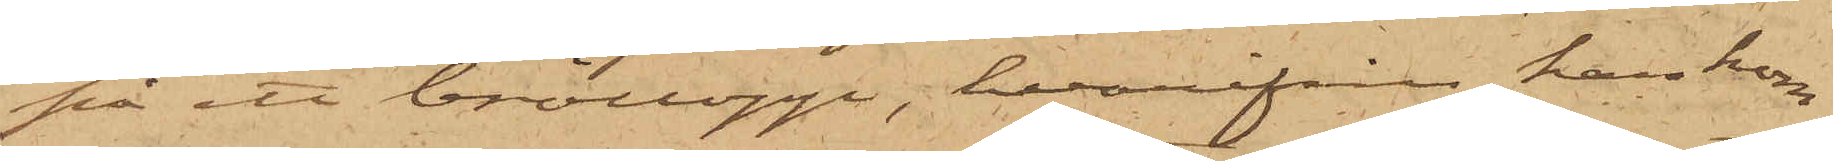på ett bröllopp, hvarifrån han kom¬
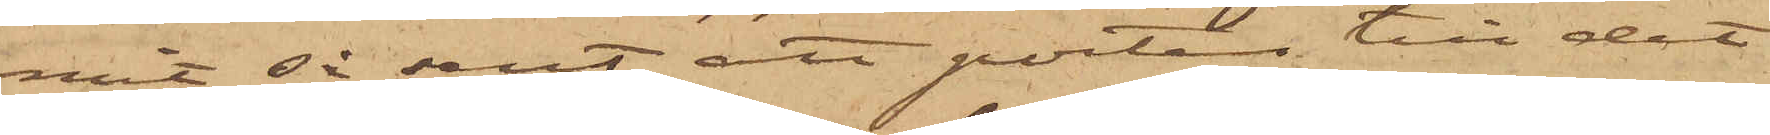mit så sent att porten till det
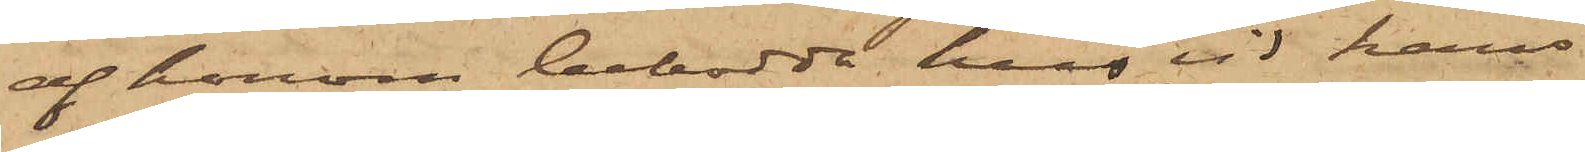af honom bebodda hus vid hans
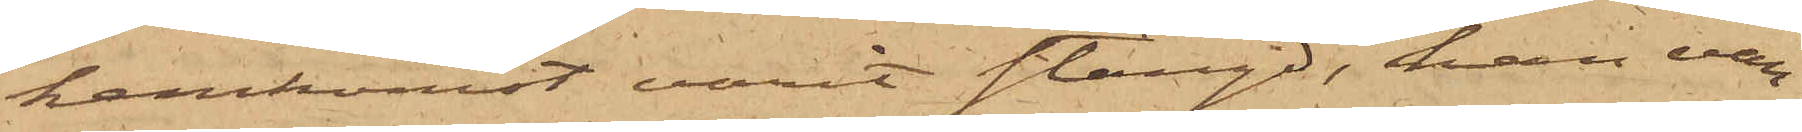hemkomst varit stängd, han van¬
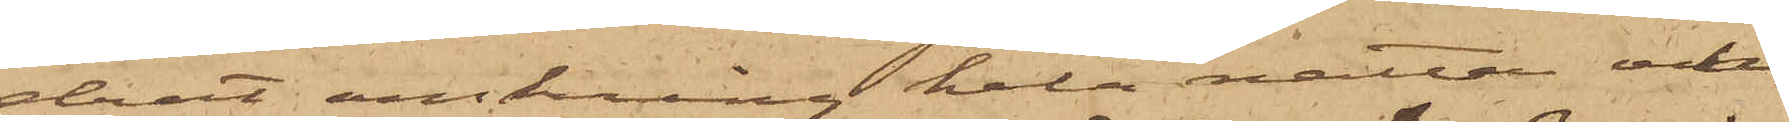drat omkring hela natten och
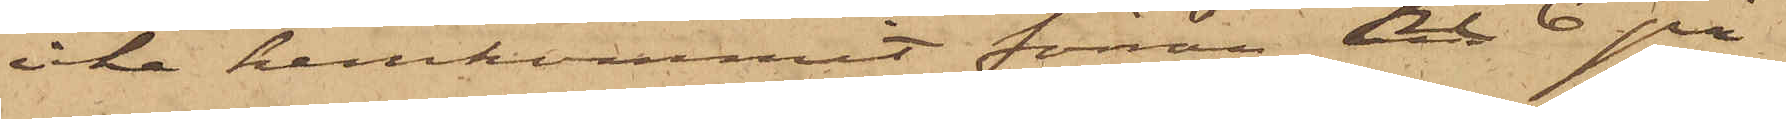icke hemkommit förrän kl 6 på
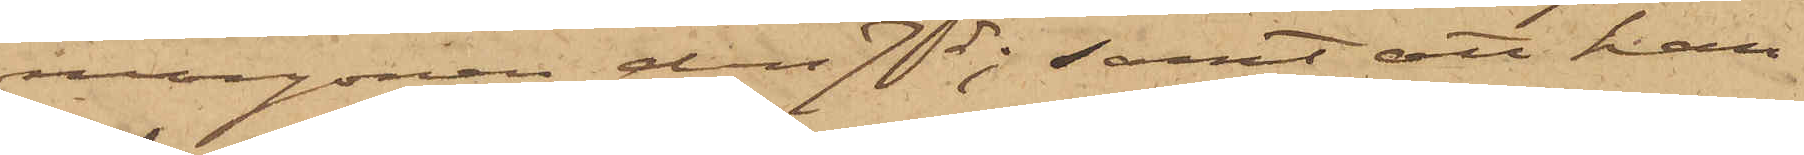morgonen den 7 ds; samt att han
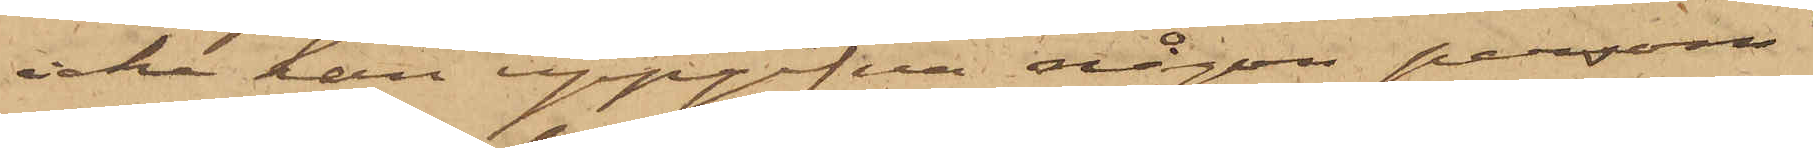icke han uppgifva någon person
